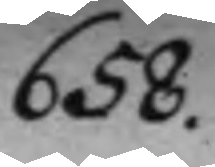658.
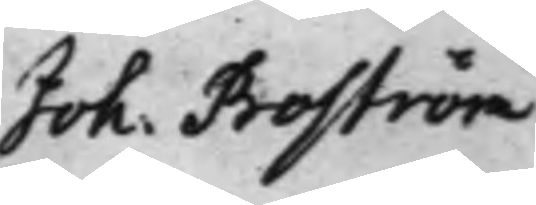S: d: Förekallades Stadz Secrete¬ Joh. Broström
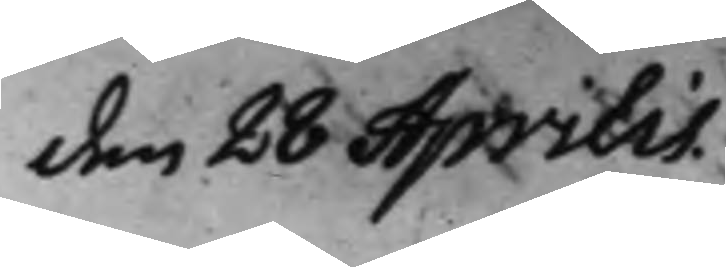den 28 Aprilis
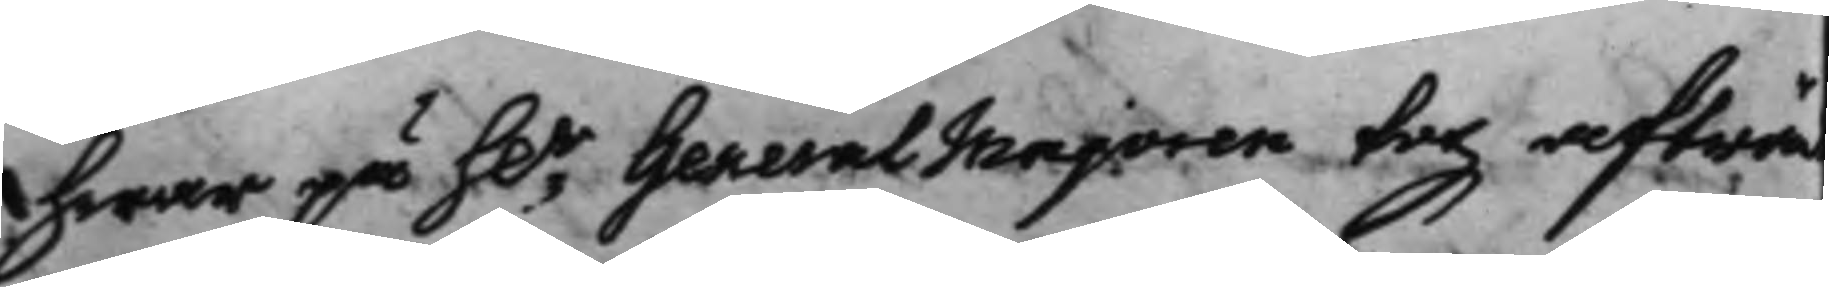hwar på h.r General Majoren tog afträ
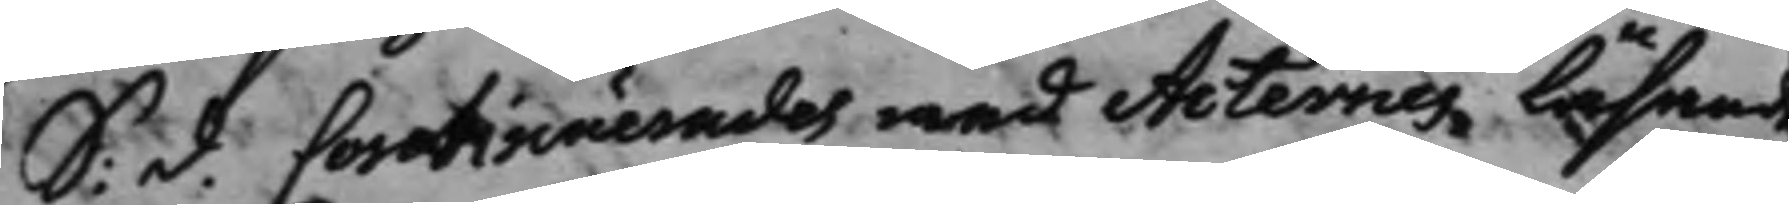S. d. Continuerades med Acternes Läsand
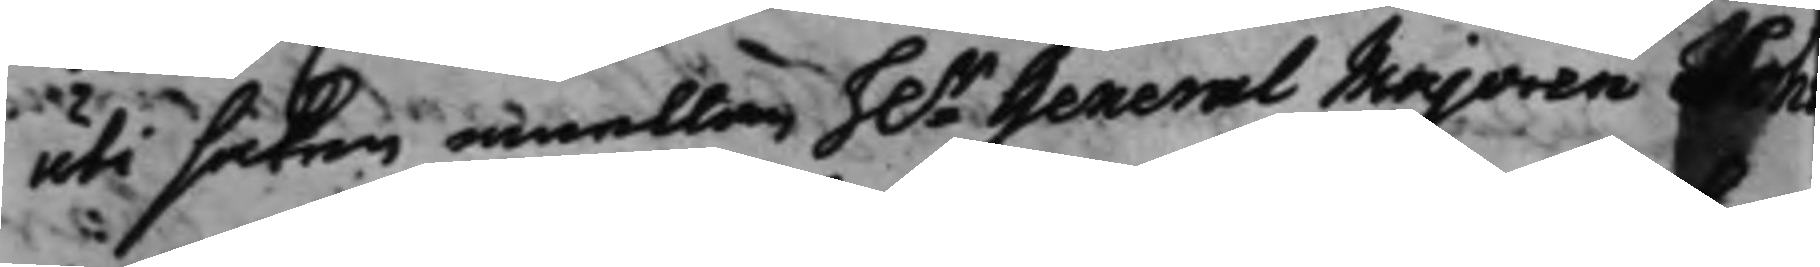uti saken emellan H.r General Majoren Schve¬ 
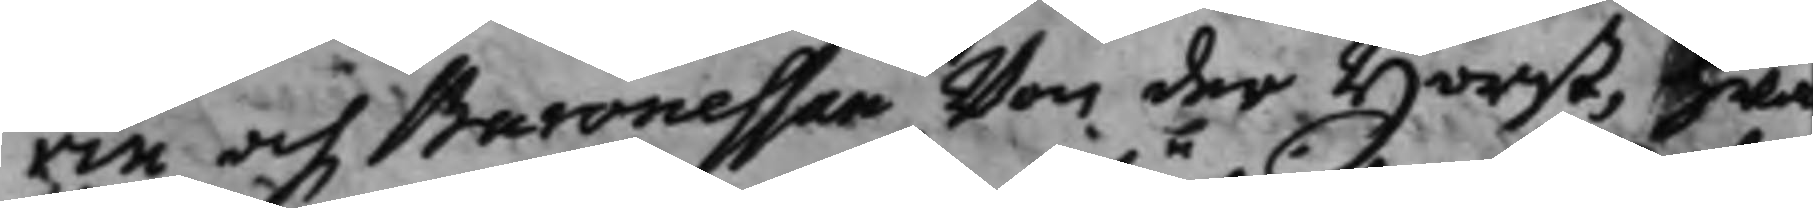rin och Baronesson won der Horst, hwa
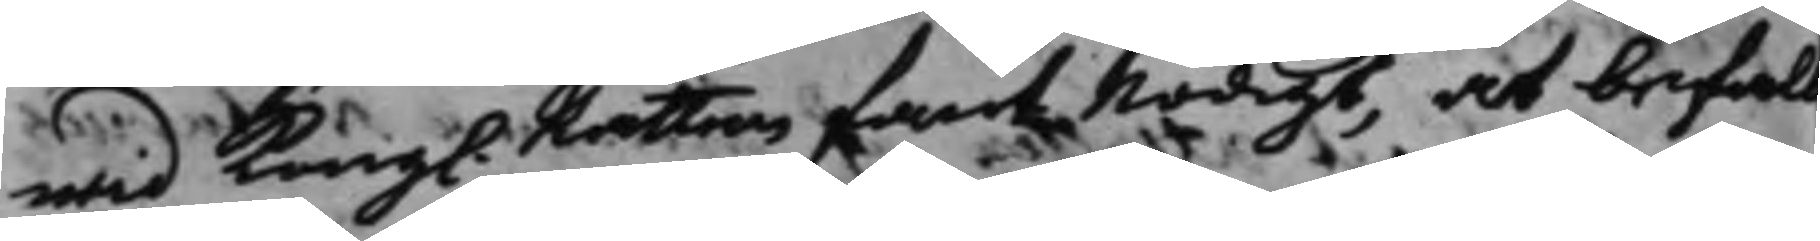wid Kong. Rätten fant nödigt, at befall
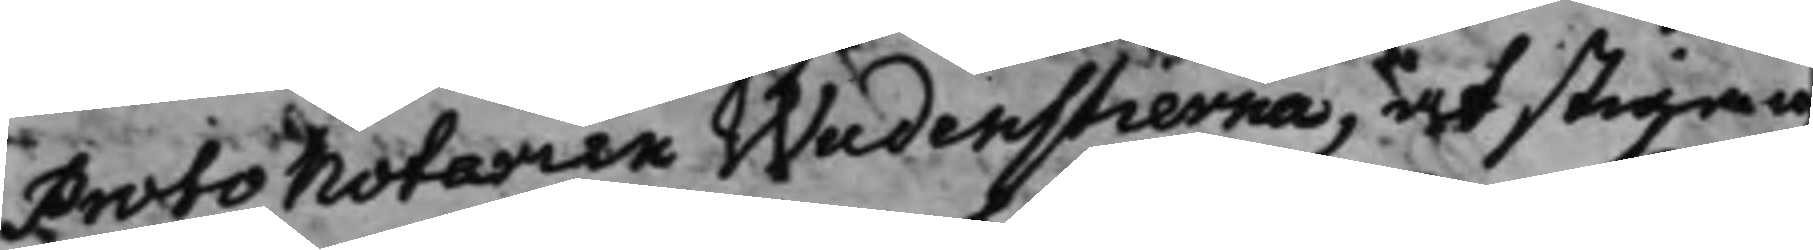Protonotarien Wadenstierna, at stiga up
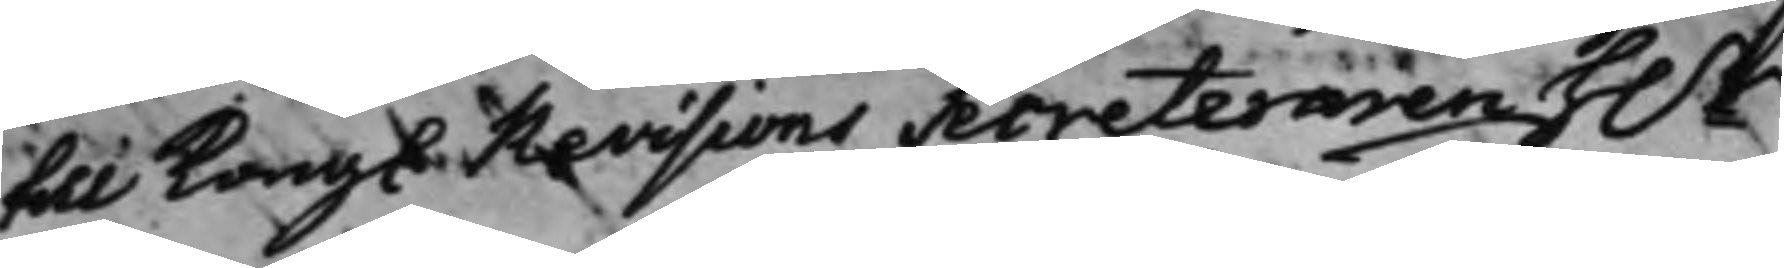till Kongl. Revisions Secreteraren h.r
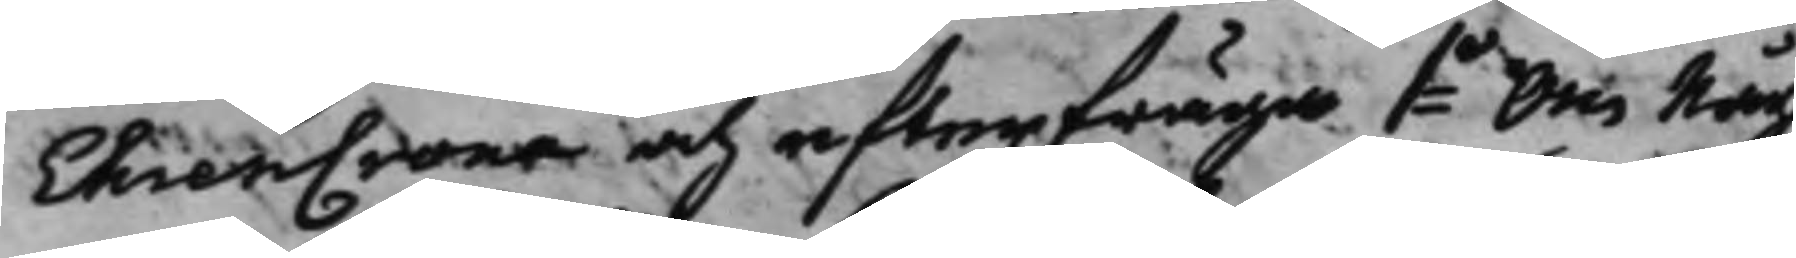EhrenCrona och efterfråga 1o Om någo
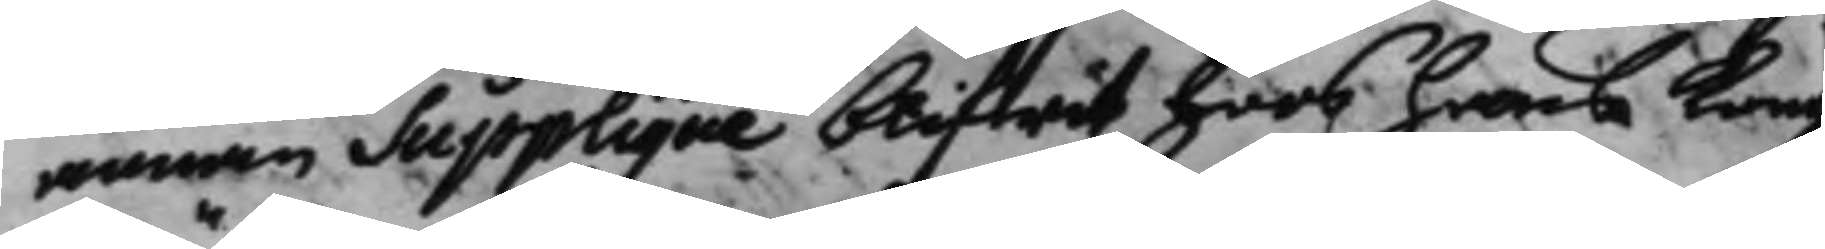annan Supplique blifwit hoos hans Kong.
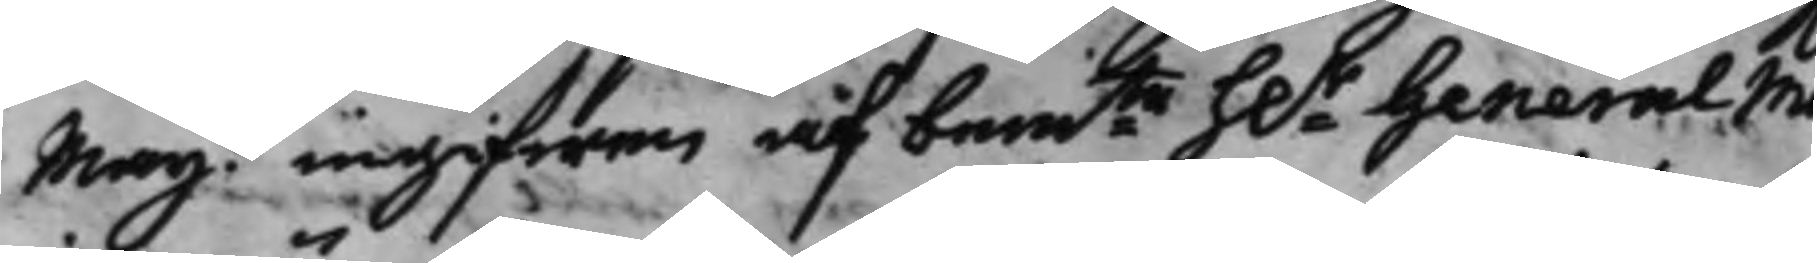Maijt ingifwen af bemte h.r General Ma¬
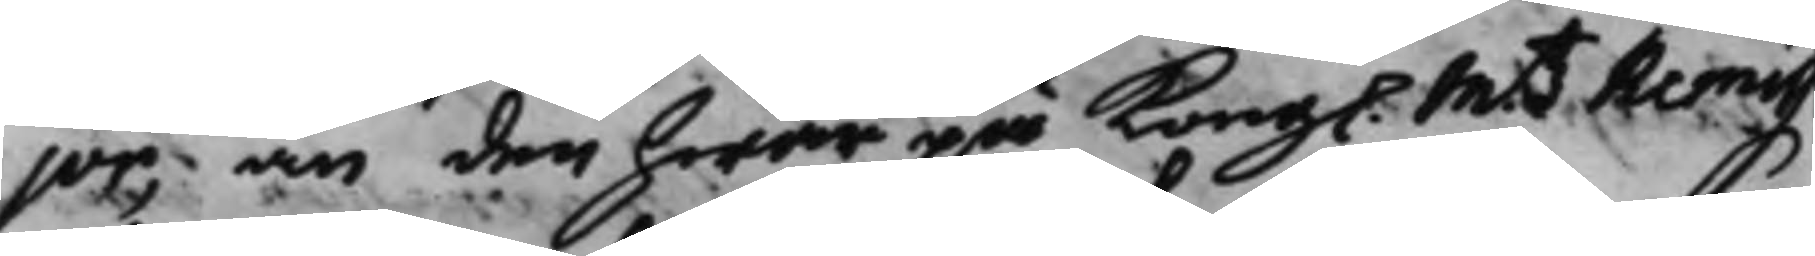jor, än den hwar på Kongl. Mtz Remiss
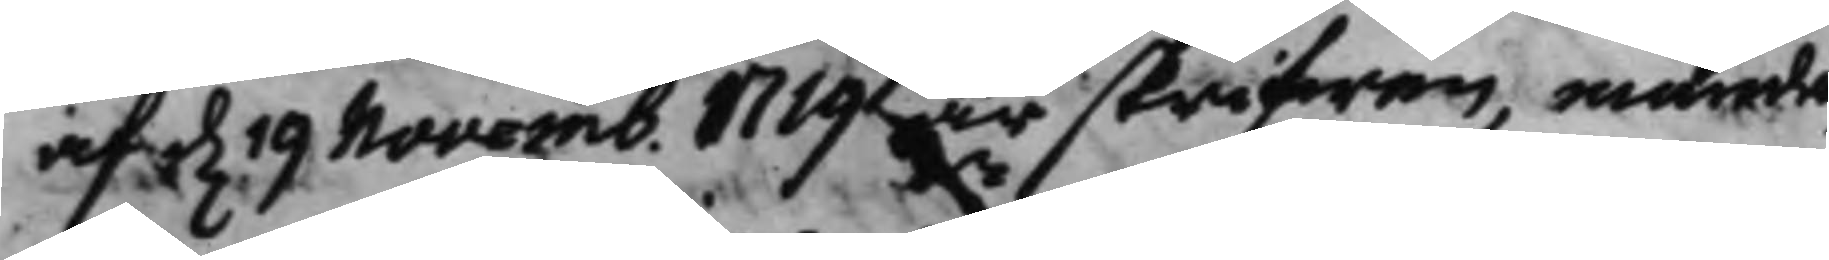af d. 19 Novemb. 1719 är skrifwen, nämda
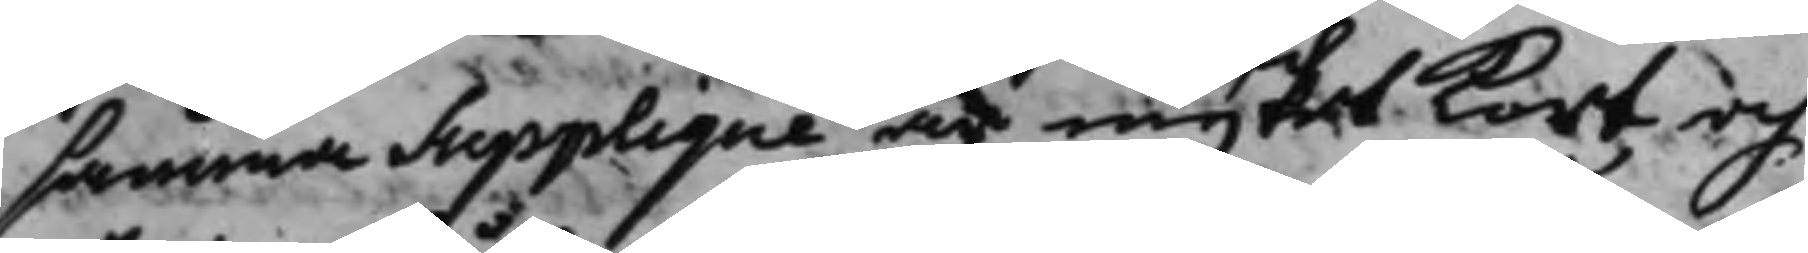samma Supplique är myket kort, och
